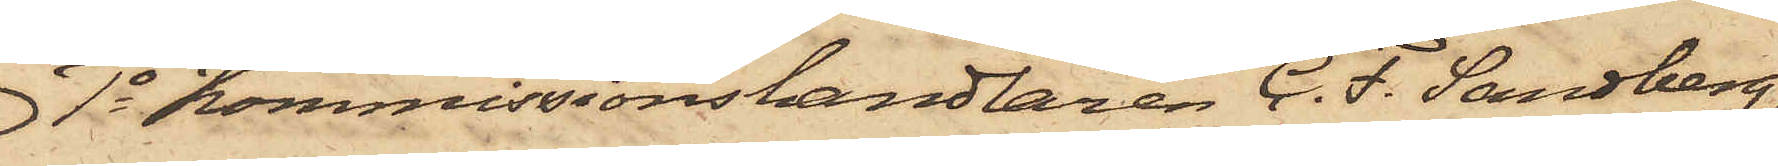1o Kommissionshandlaren C. F. Sandberg,
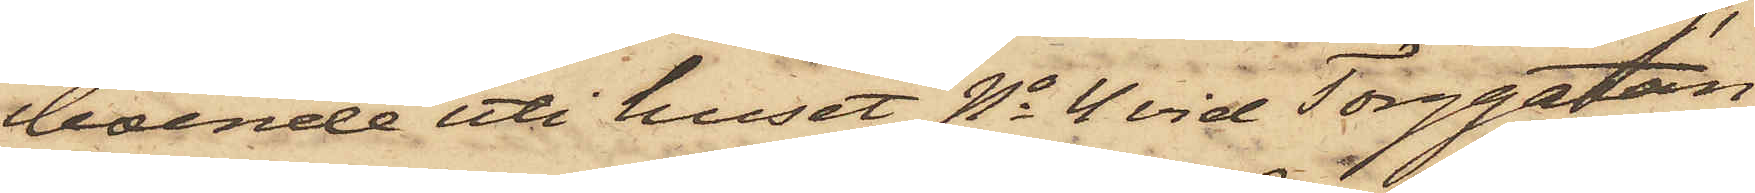boende uti huset No 4 vid Torggatan,
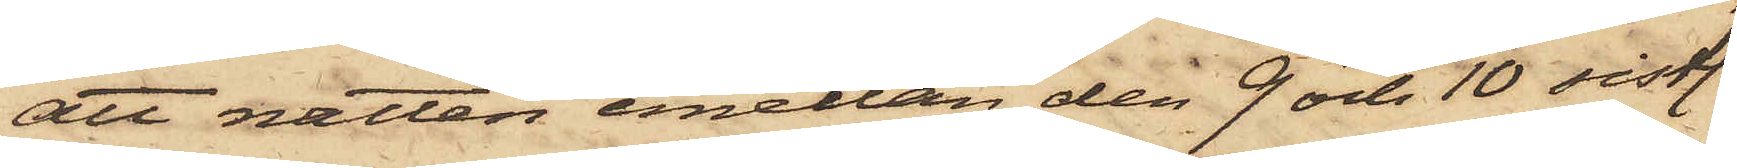att natten emellan den 9 och 10 sistl.
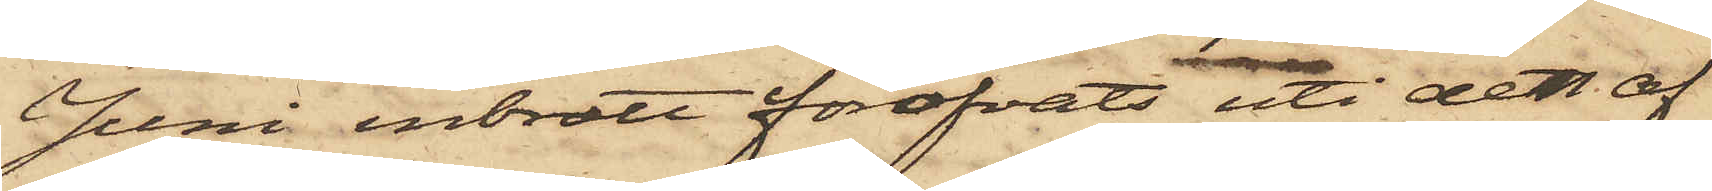Juni inbrott föröfvats uti det af
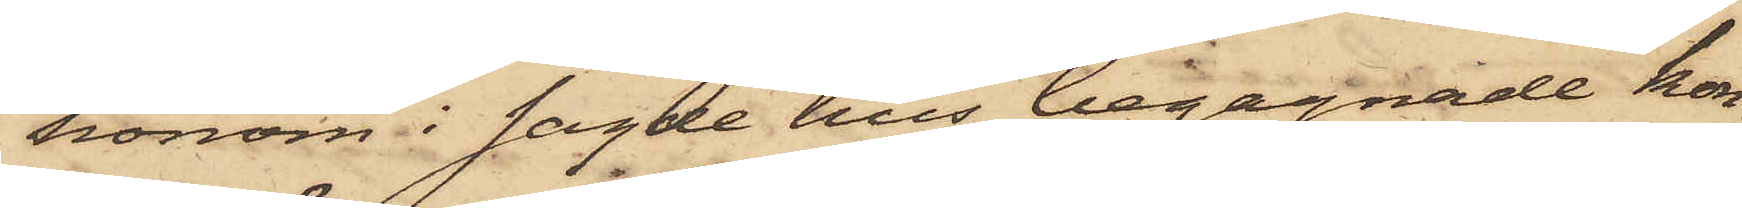honom i sagde hus begagnade kon¬
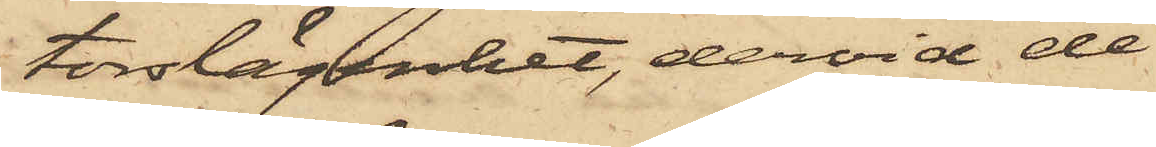torslägenhet, dervid de
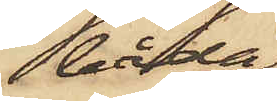båda
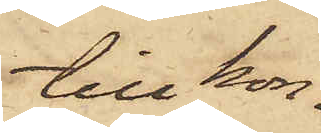till kon¬
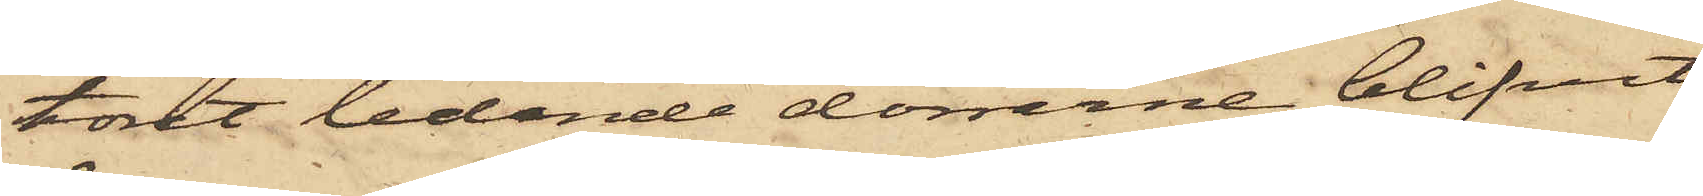toret ledande dörrarne blifvit
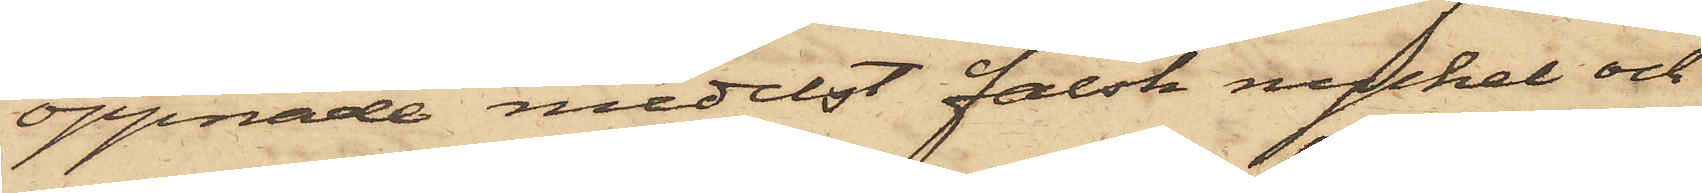öppnade medelst falsk nyckel och
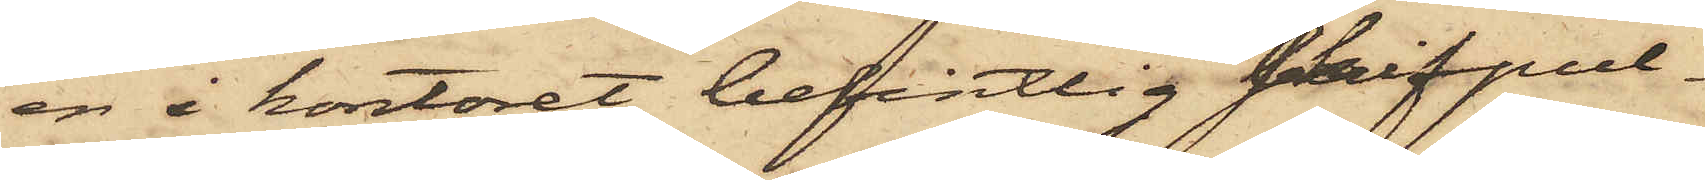en i kontoret befintlig skrifpul¬
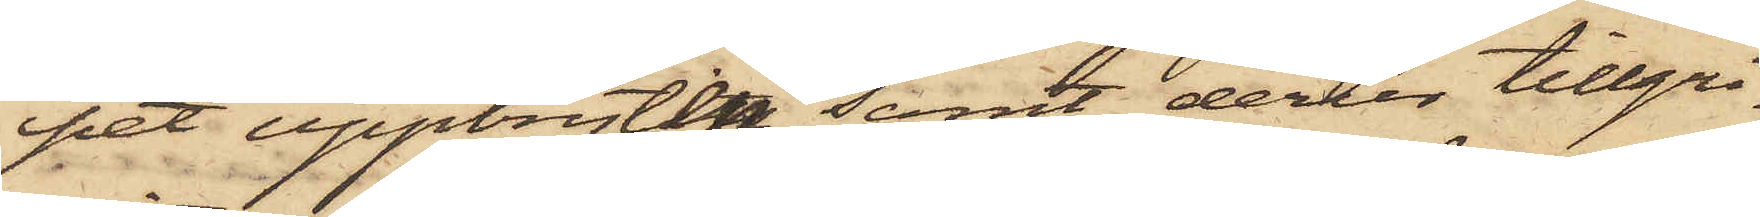pet uppbryten samt derur tillgri¬
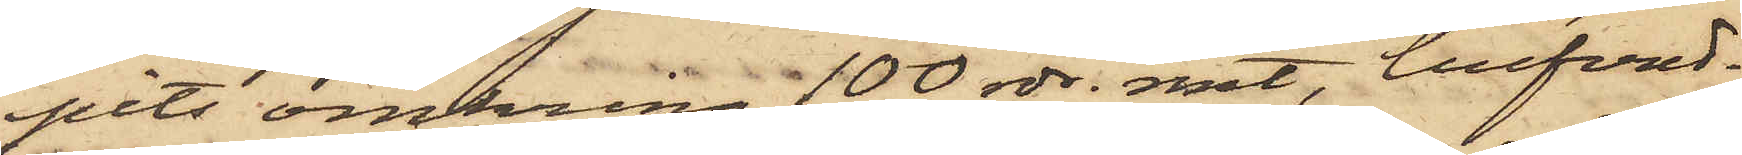pits omkring 100 rdr. rmt, hufvud¬
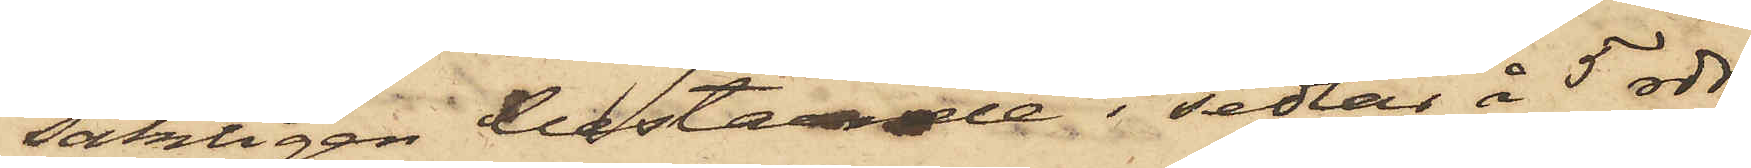sakligen bestående i sedlar å 5 rdr;
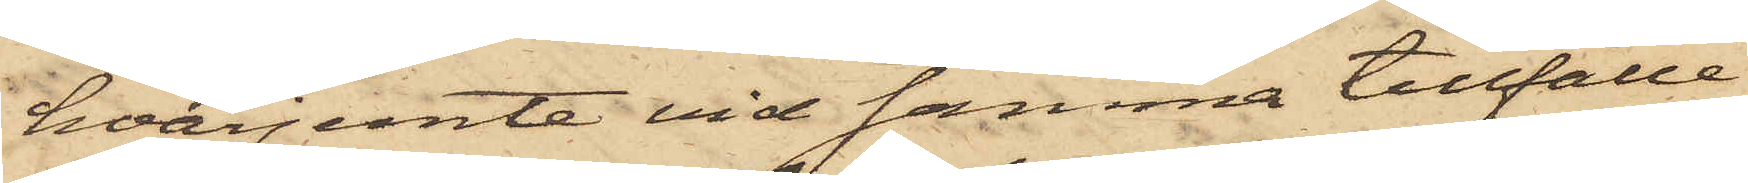hvarjemte vid samma tillfälle
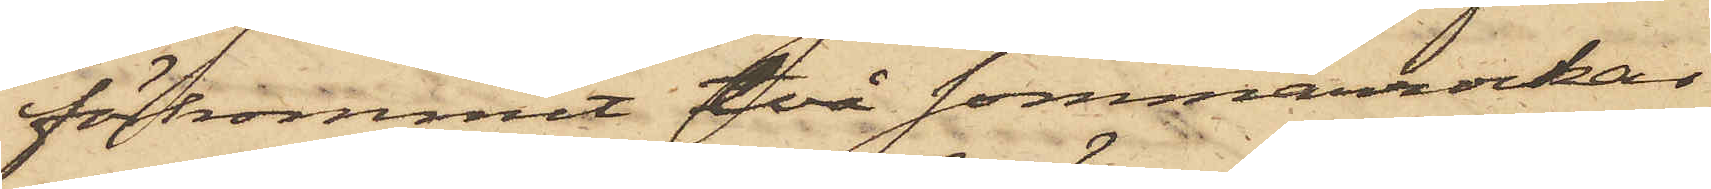förkommit två sommarrockar
